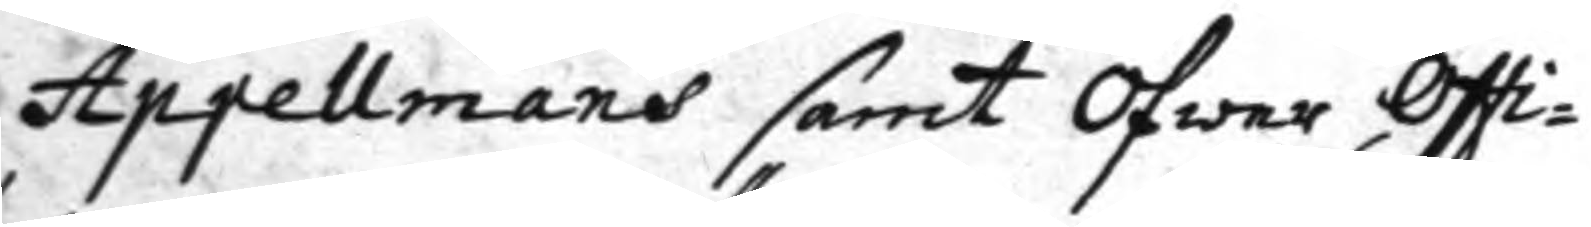Appellmans samt Öfwer Offi¬
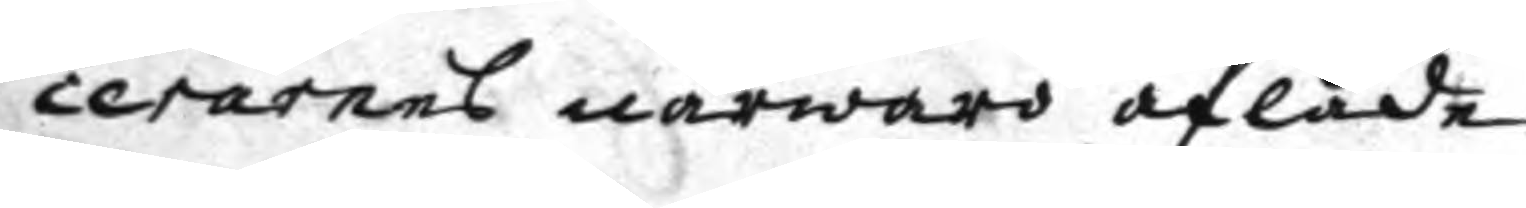cerarens närwaro aflade
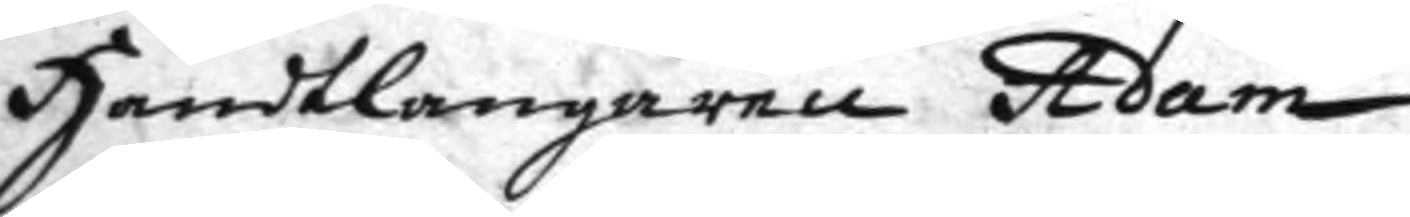Handtlangarna Adam
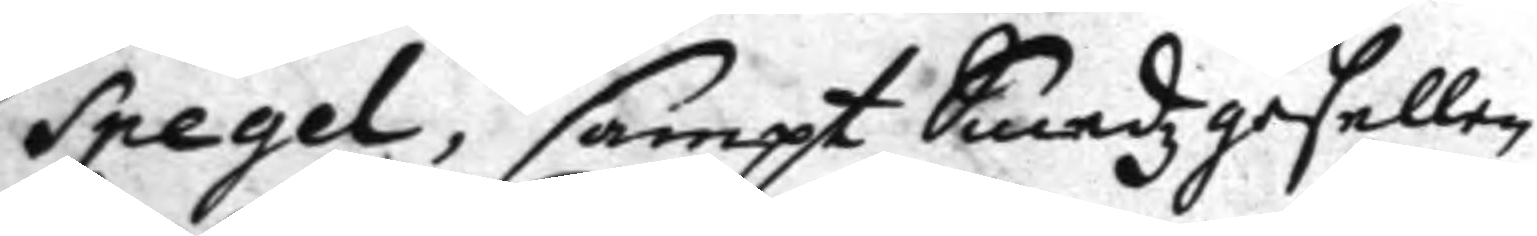Spegel, sampt Smedzgesellen
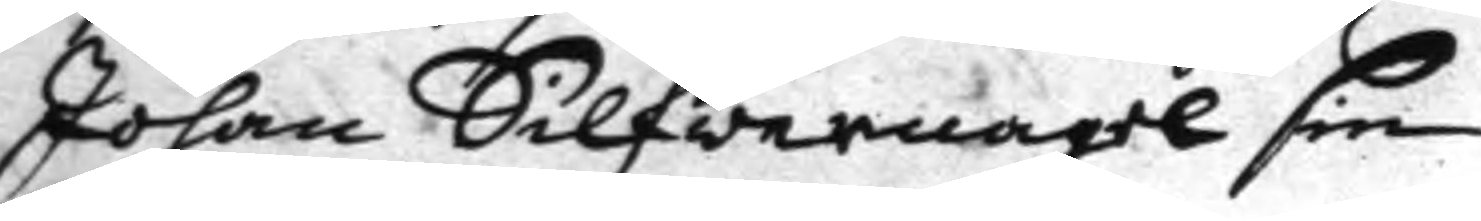Johan Silfwernagel sin
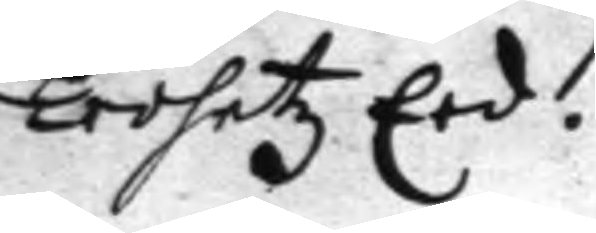Trohetz Eed.
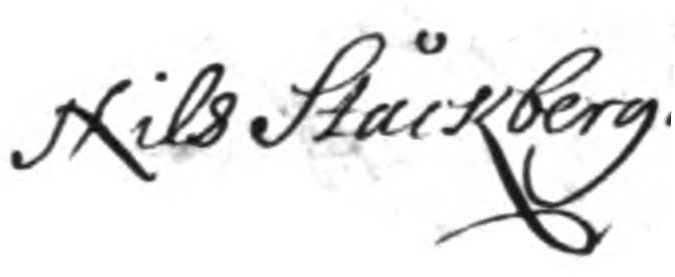Nils Ståckberg
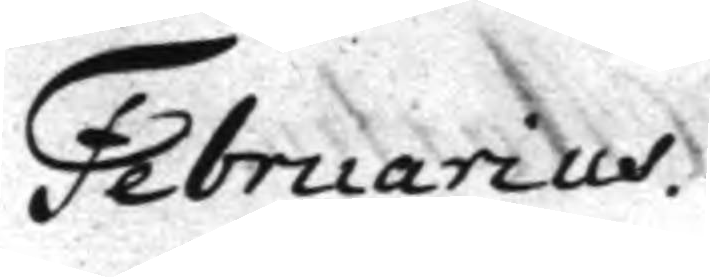Februarius
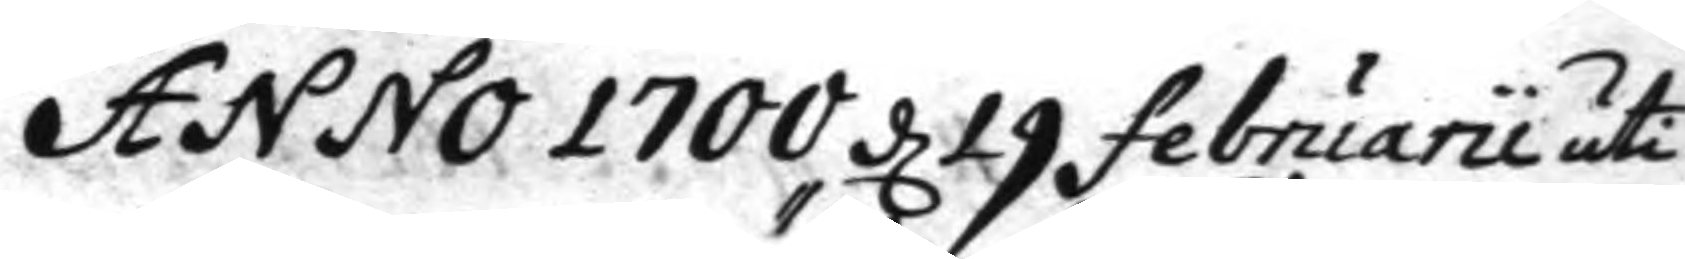Anno 1700 d 19 februarii uti
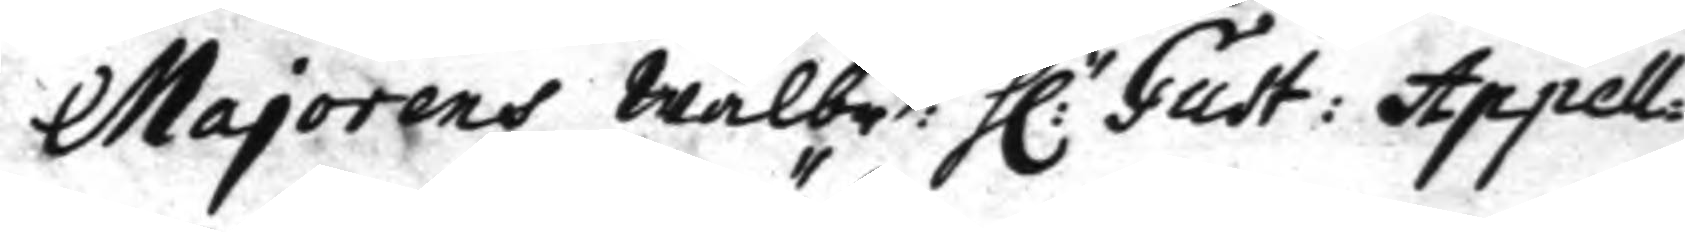Majorens Wälbe: h:r Gust: Appell¬
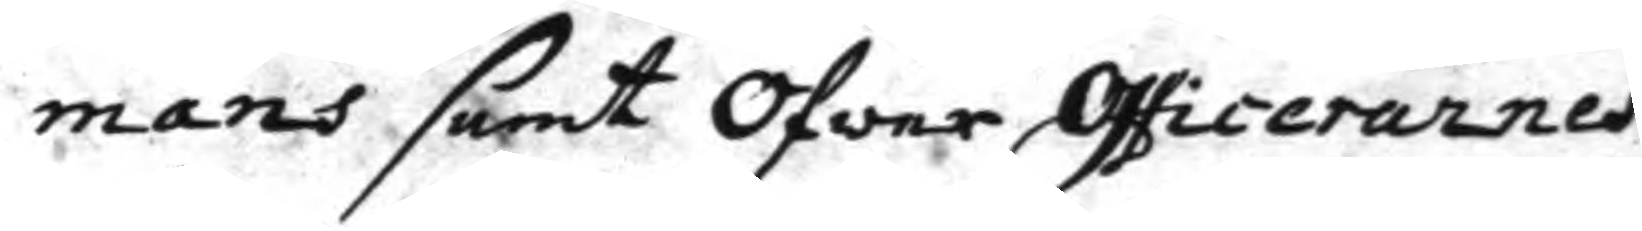mans samt Öfwer Officerarnes
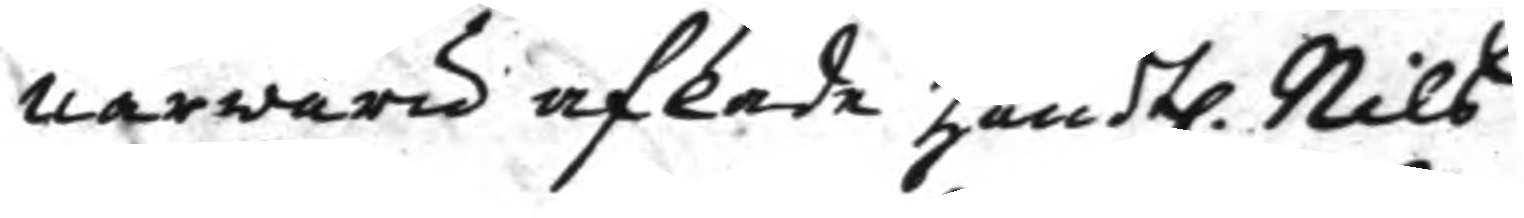närwaro aflade handtl. Nils
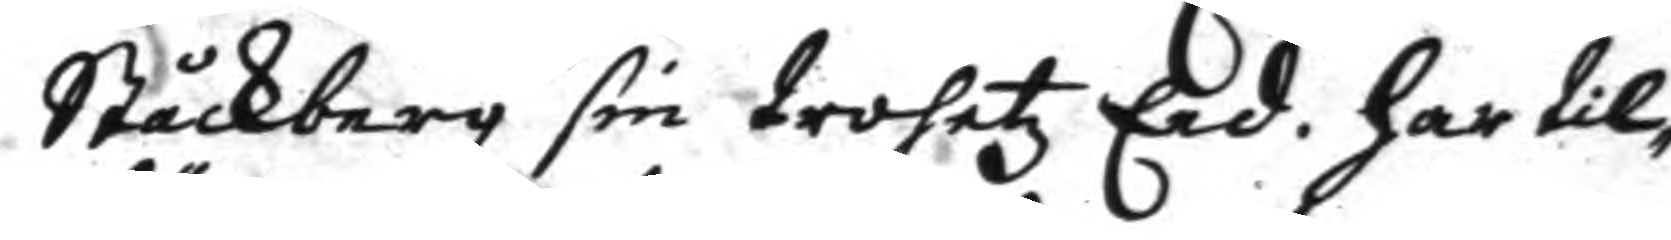Ståckberg sin trohetz Eed, har til¬
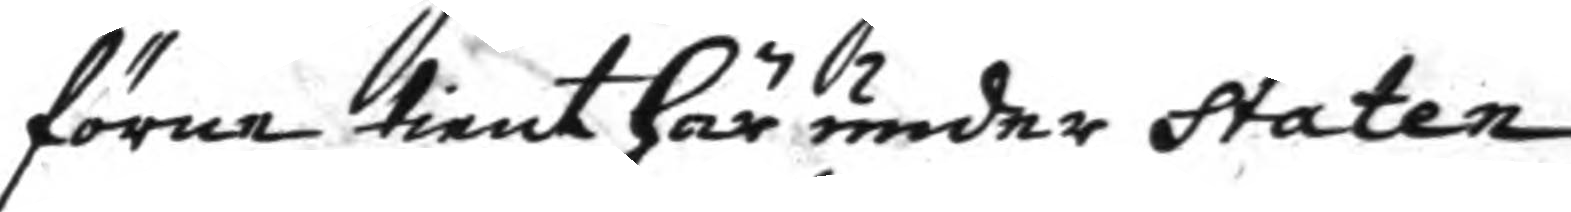förne tienst här under Staten
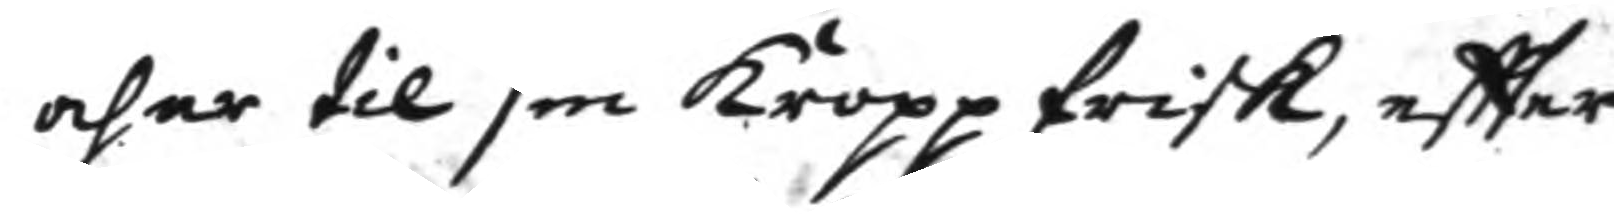och är til sin kropp frisk, eftter
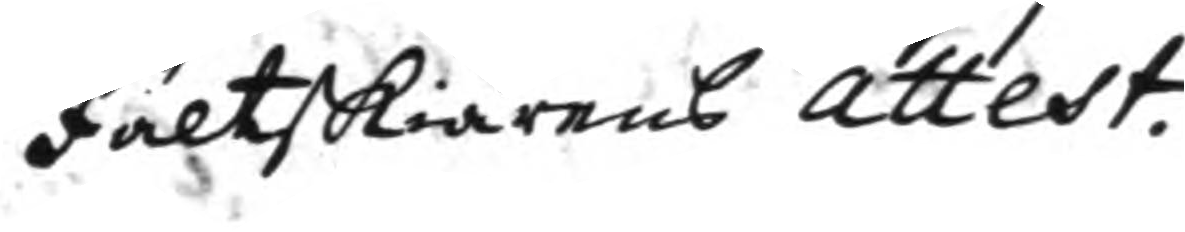fältSkiärens attest.
